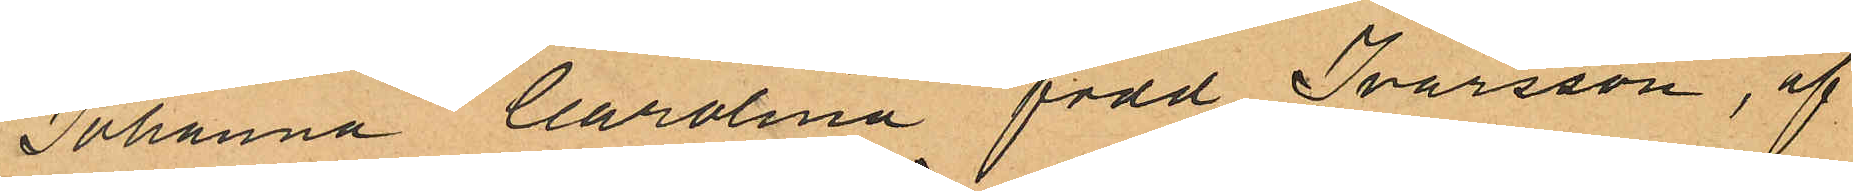Johanna Carolina född Ivarsson, af
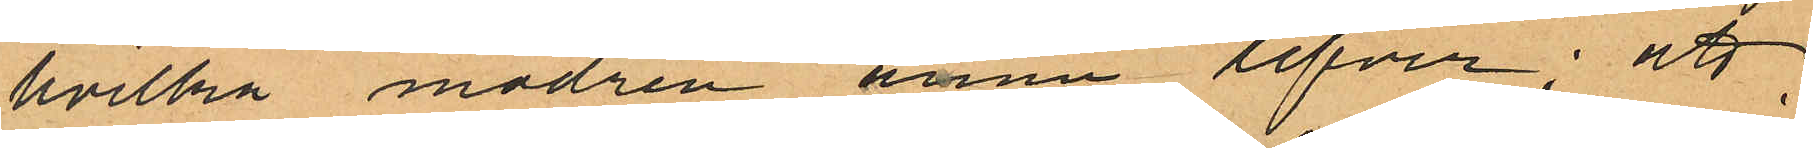hvilka modren ännu lefver; att
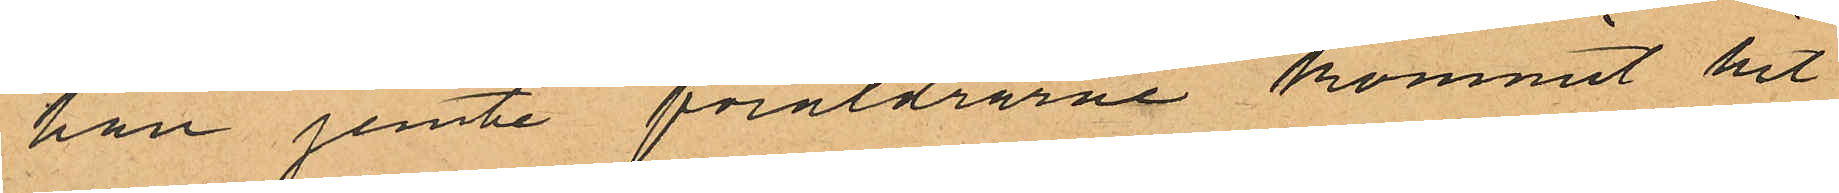han jemte föräldrarne kommit hit
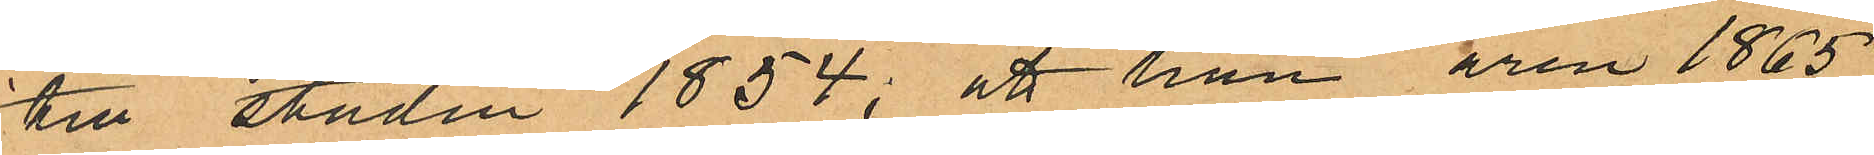till staden 1854; att han åren 1865
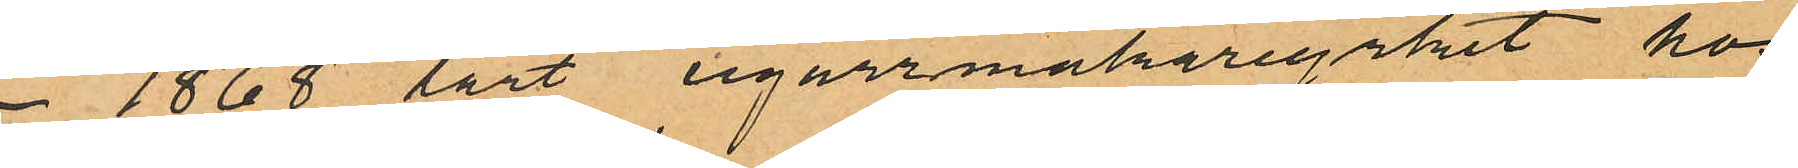- 1868 lärt cigarrmakaryrket hos
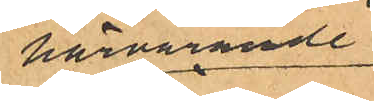härvarande
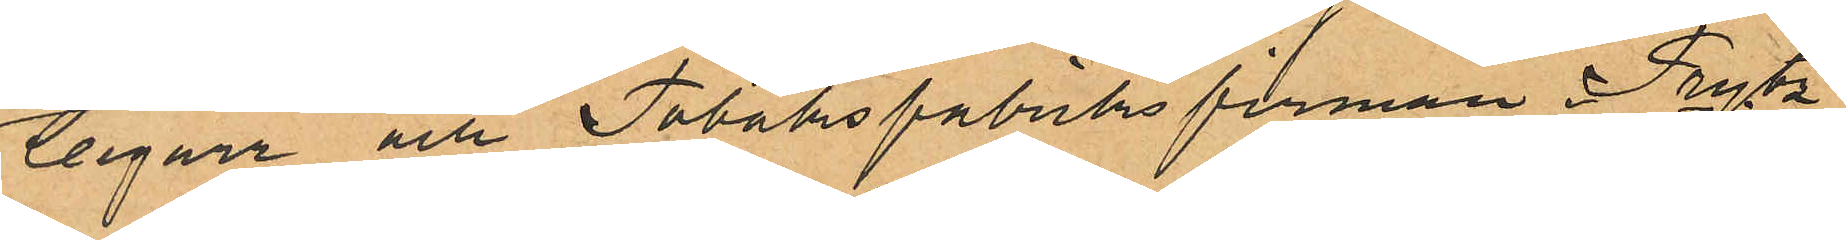Cigarr och Tobaksfabriksfirman Prytz
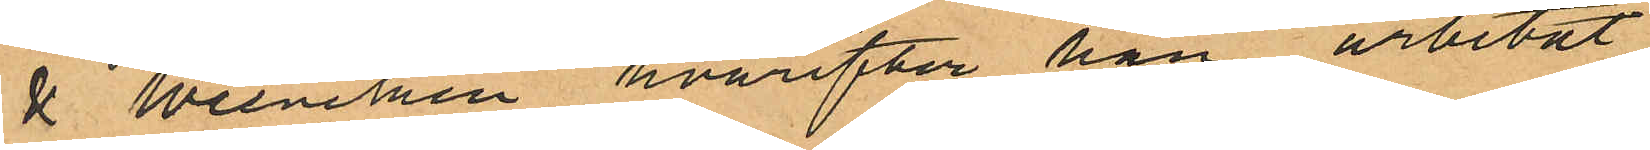& Weineken hvarefter han arbetat
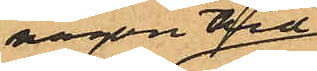någon tid
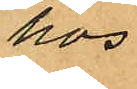hos
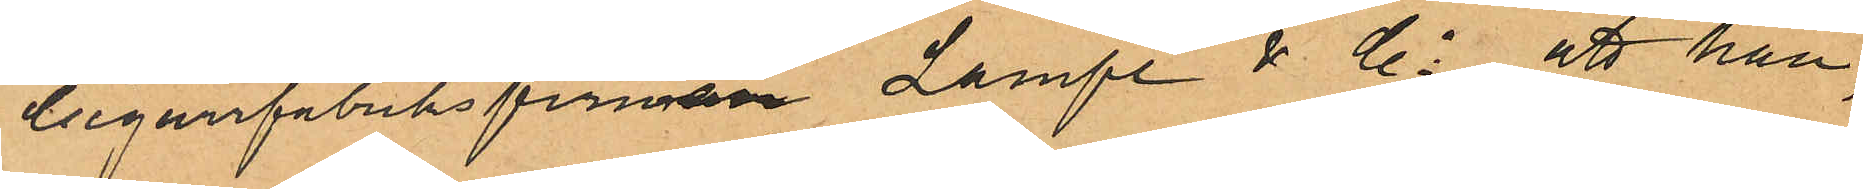Cigarrfabriksfirman Lampe & Co, att han,
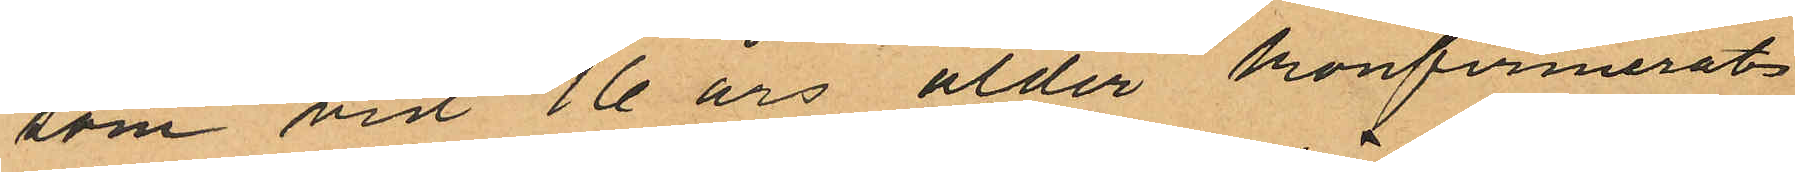som vid 16 års ålder konfirmerats
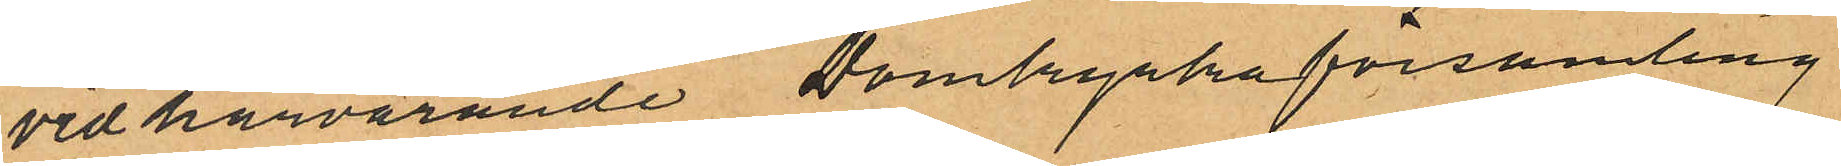vid härvarande Domkyrkoförsamling
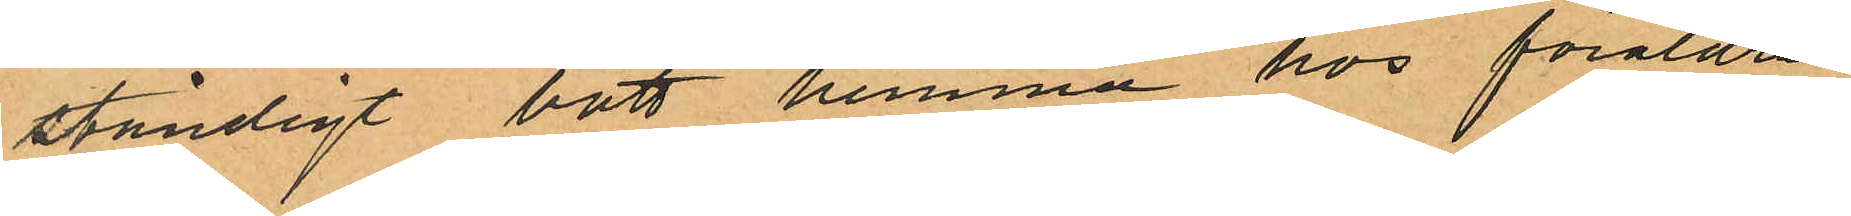ständigt bott hemma hos föräldrar
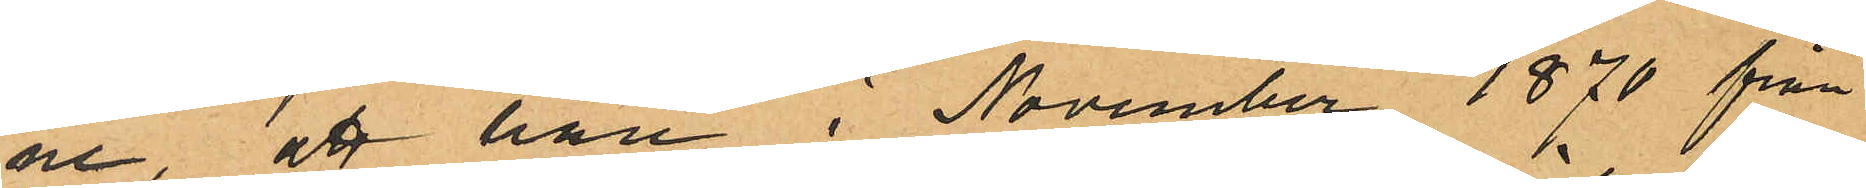ne, att han i November 1870 från
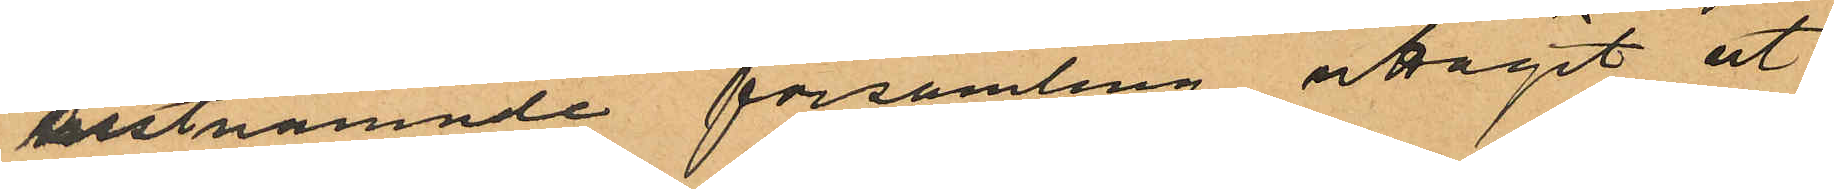sistnämnde församling uttagit ut
